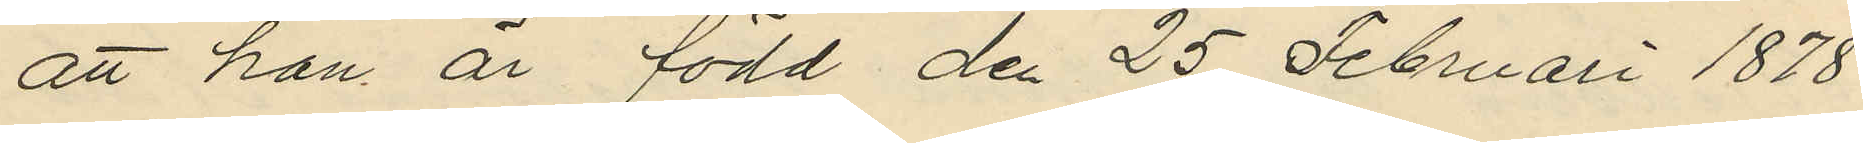att han är född den 25 Februari 1878
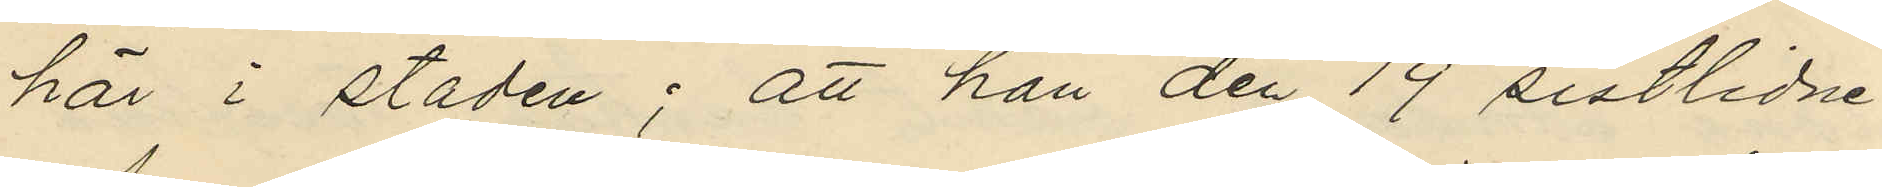här i staden; att han den 19 sistlidne
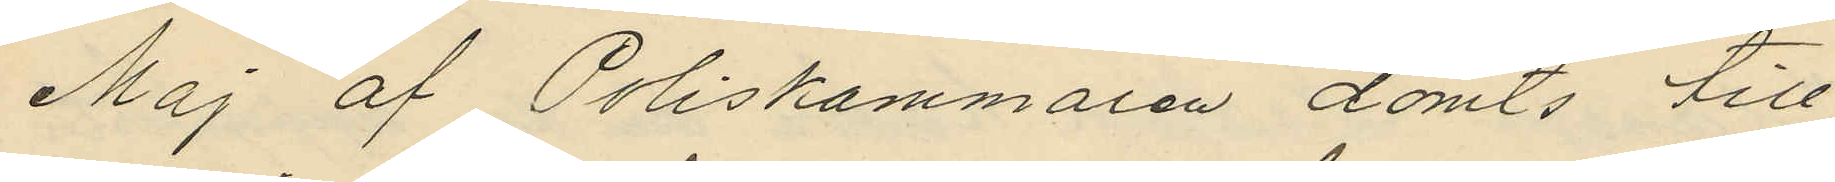Maj af Poliskammaren dömts till
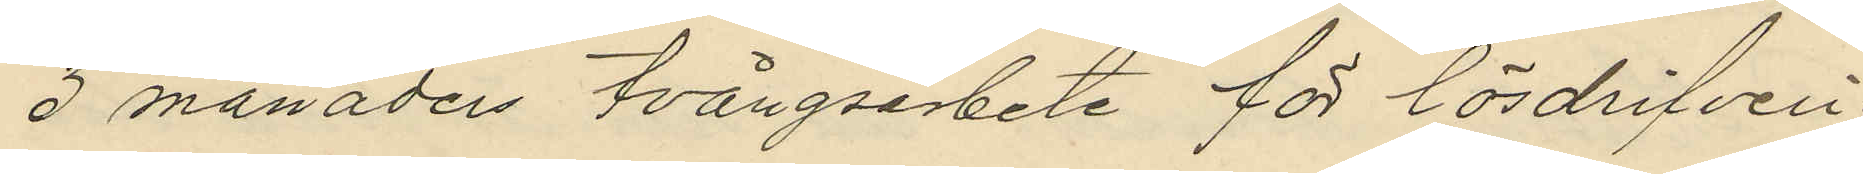3 månaders tvångsarbete för lösdrifveri;
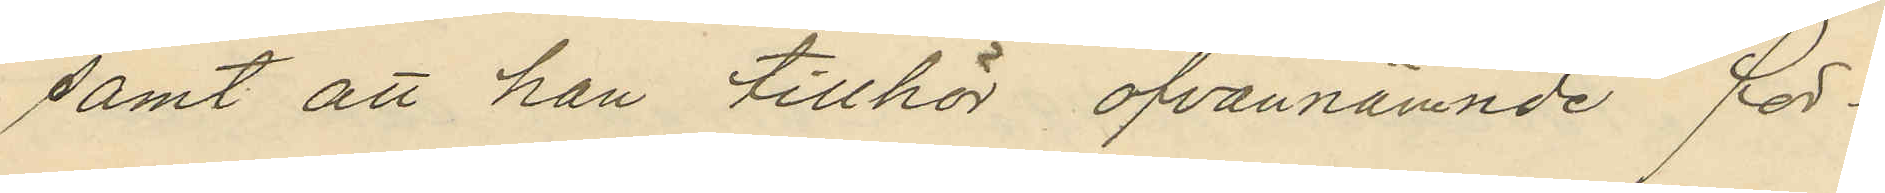samt att han tillhör ofvannämnde för¬
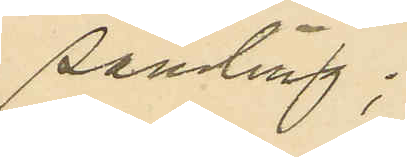samling;
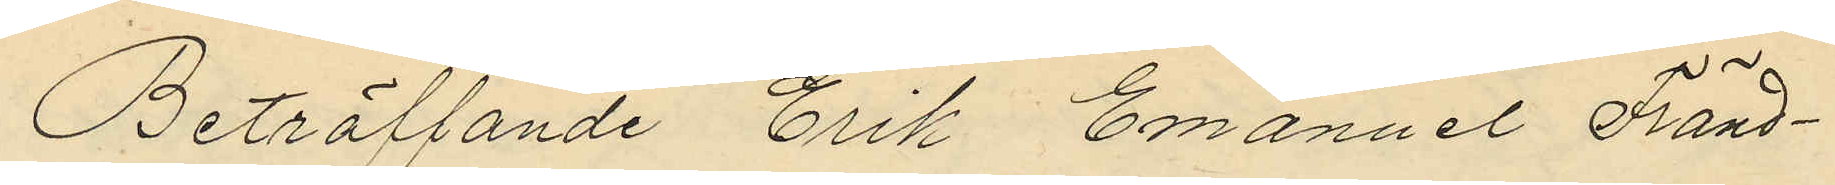Beträffande Erik Emanuel Fränd¬
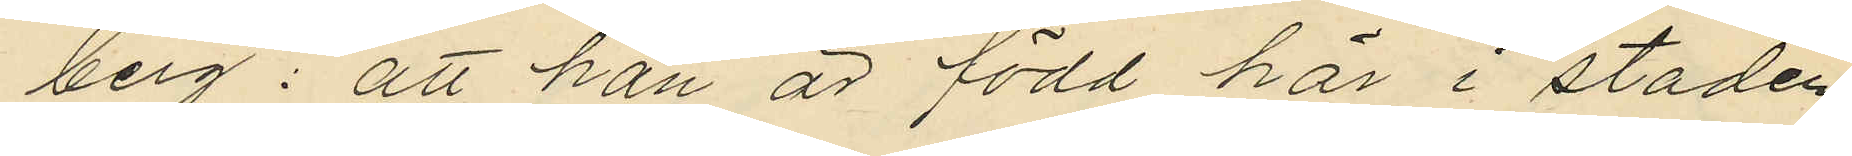berg: att han är född här i staden
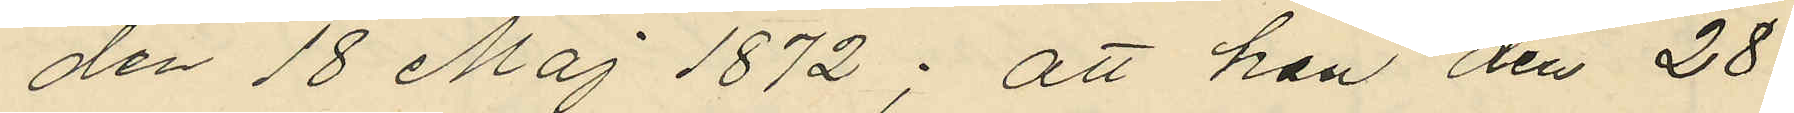den 18 Maj 1872; att han den 28
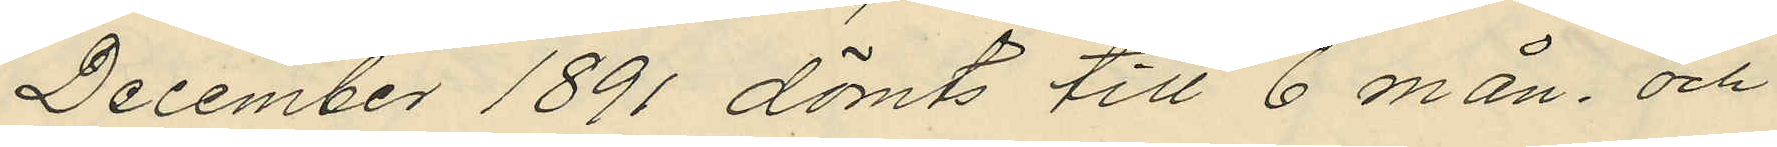December 1891 dömts till 6 mån. och
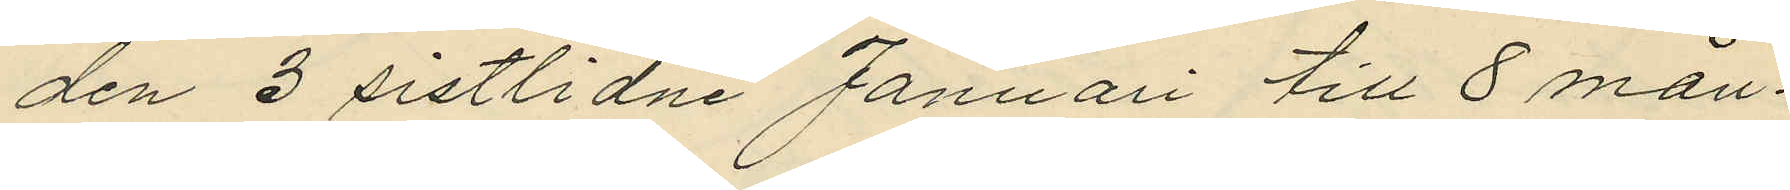den 3 sistlidne Januari till 8 mån.
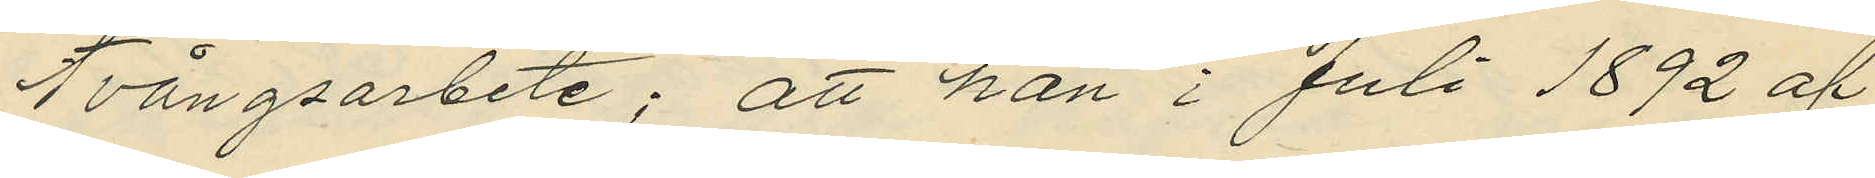tvångsarbete; att han i Juli 1892 af
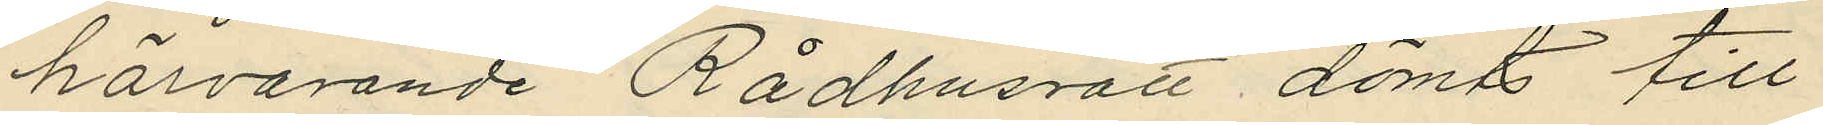härvarande Rådhusrätt dömts till
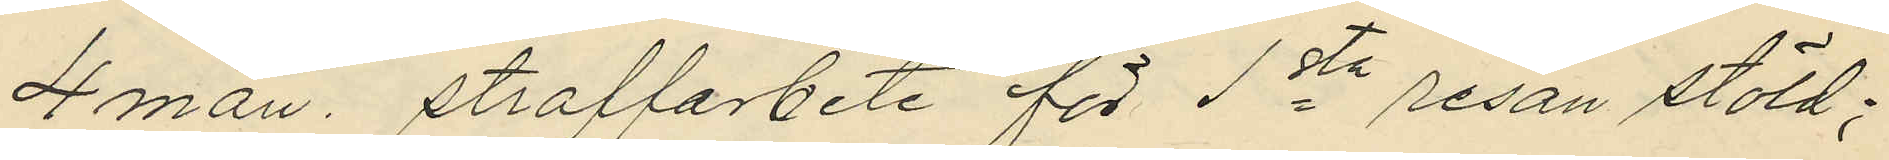4 mån. straffarbete för 1sta resan stöld;
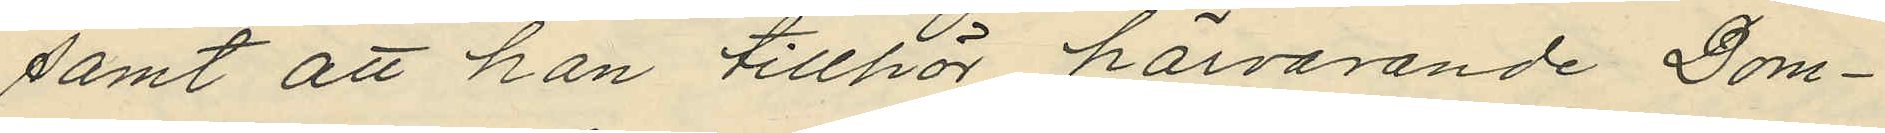samt att han tillhör härvarande Dom¬
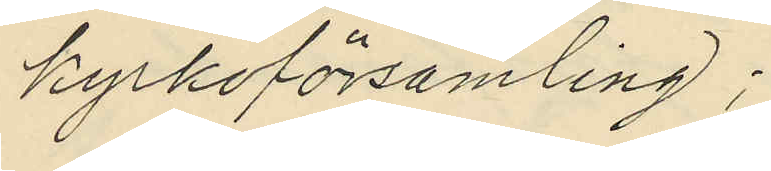kyrkoförsamling;
